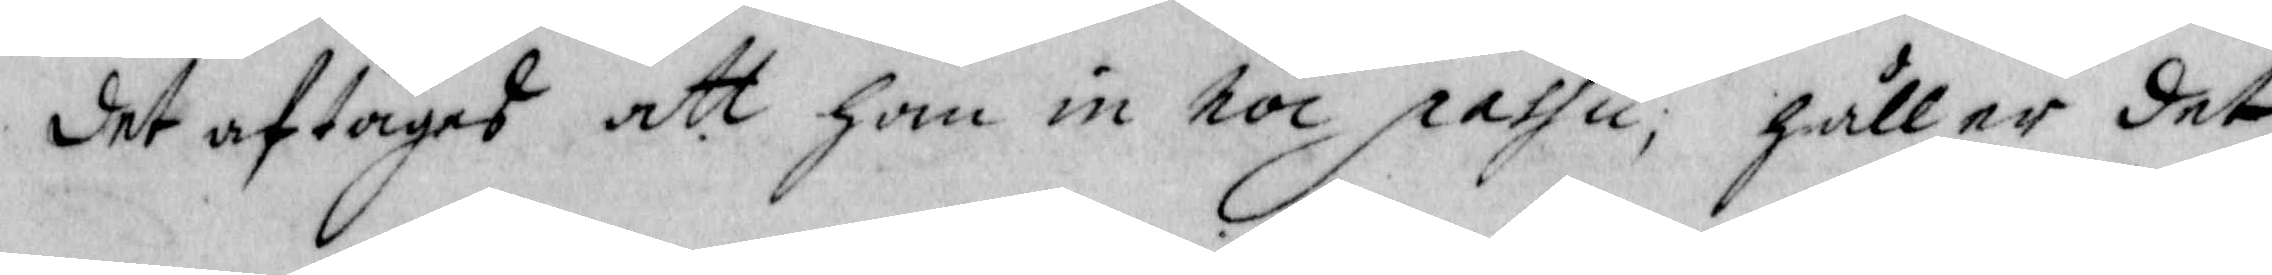det aftaget att han in hoc passu, håller det
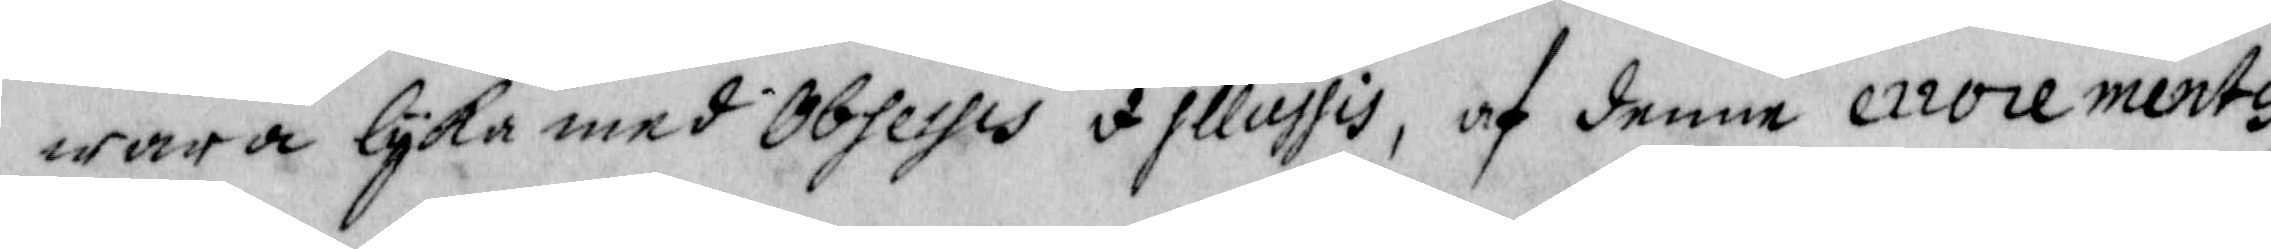wara lyka med Obsessis q illussis, af denne errocementis
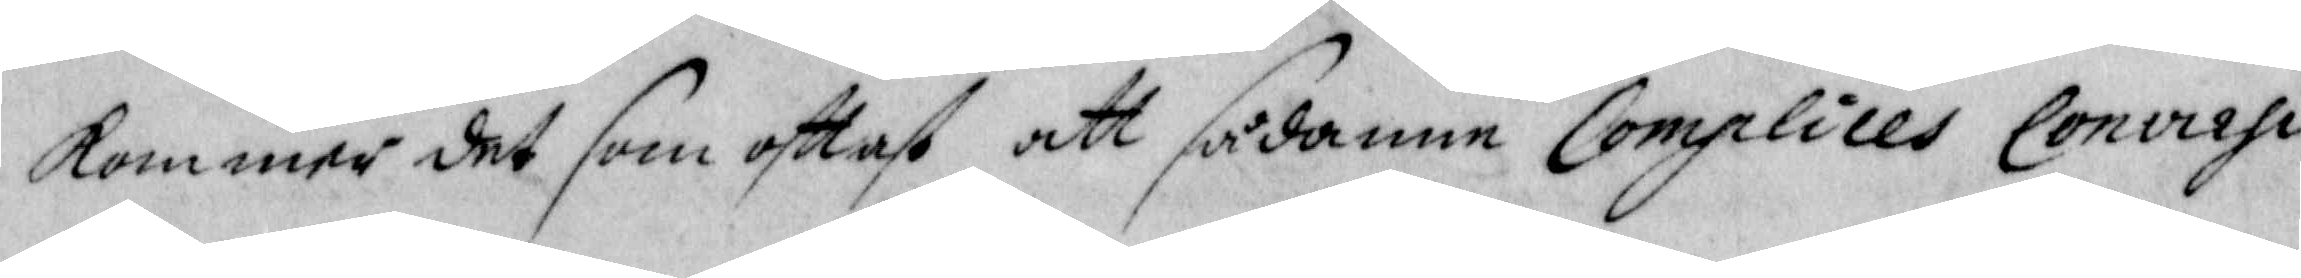kommer det som ofttast att sådanne Complices Convirsi
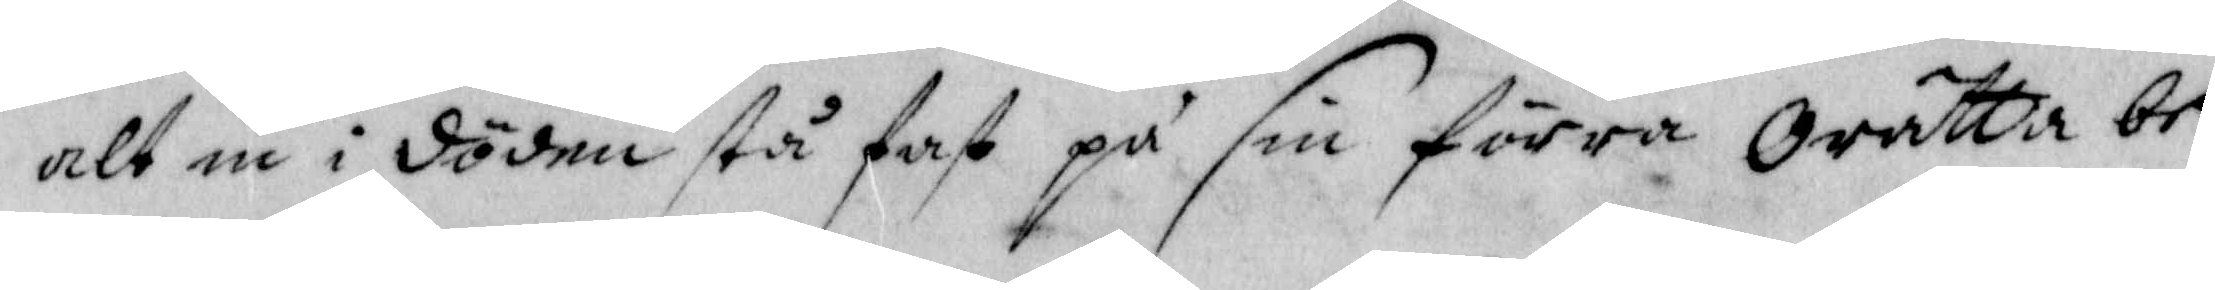alt in i döden stå fast på sin förra Orätta be¬
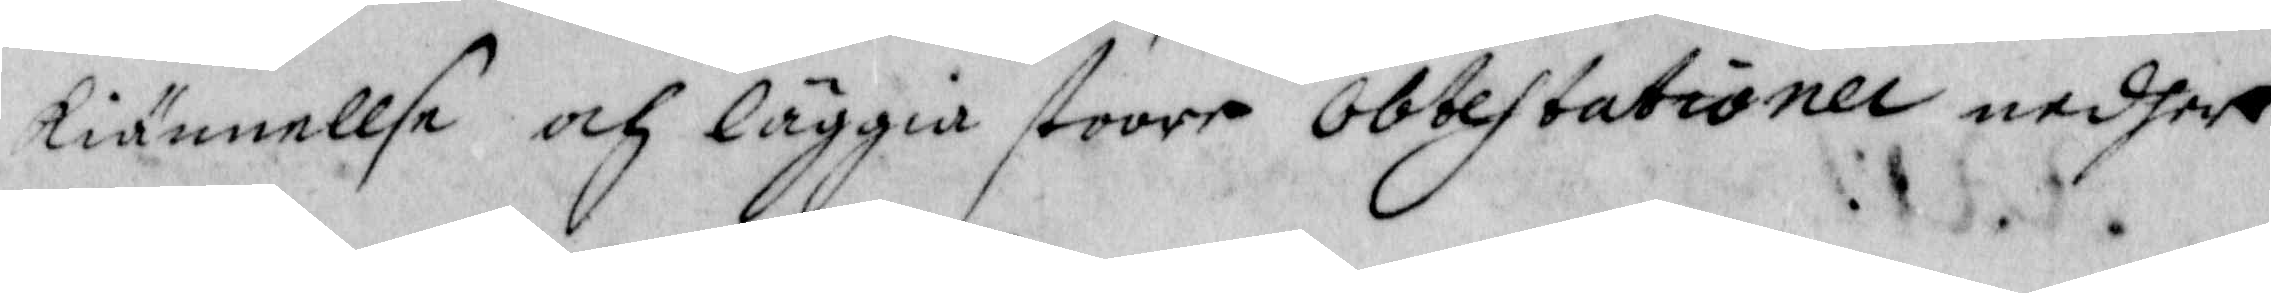kiännellse och läggia stoor Obtestationer nedher
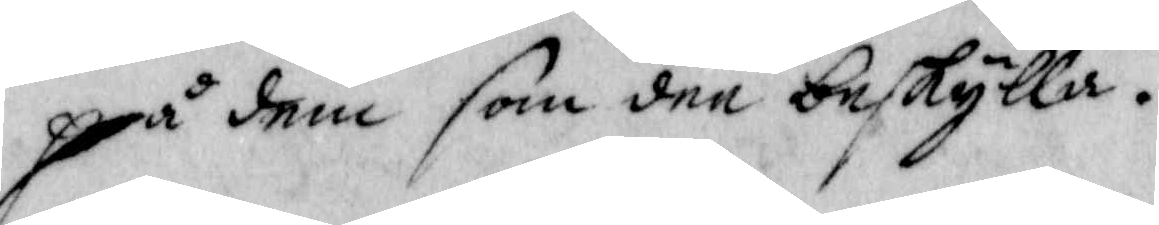på dem som dee beskylla.
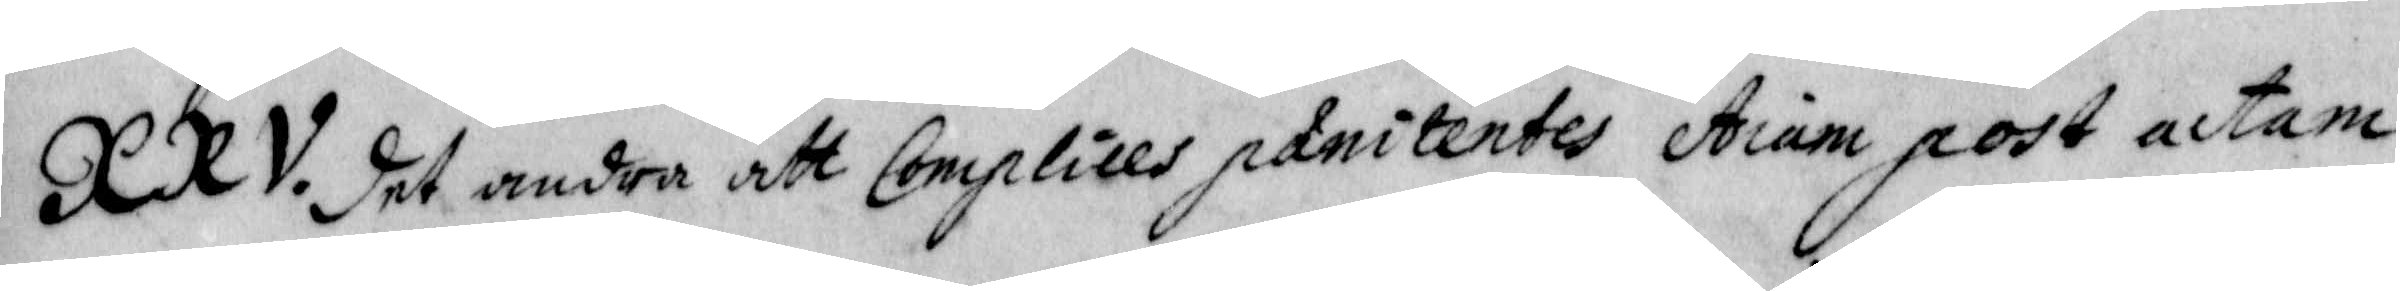XXV. det andra att Coplices panitentes Aiam
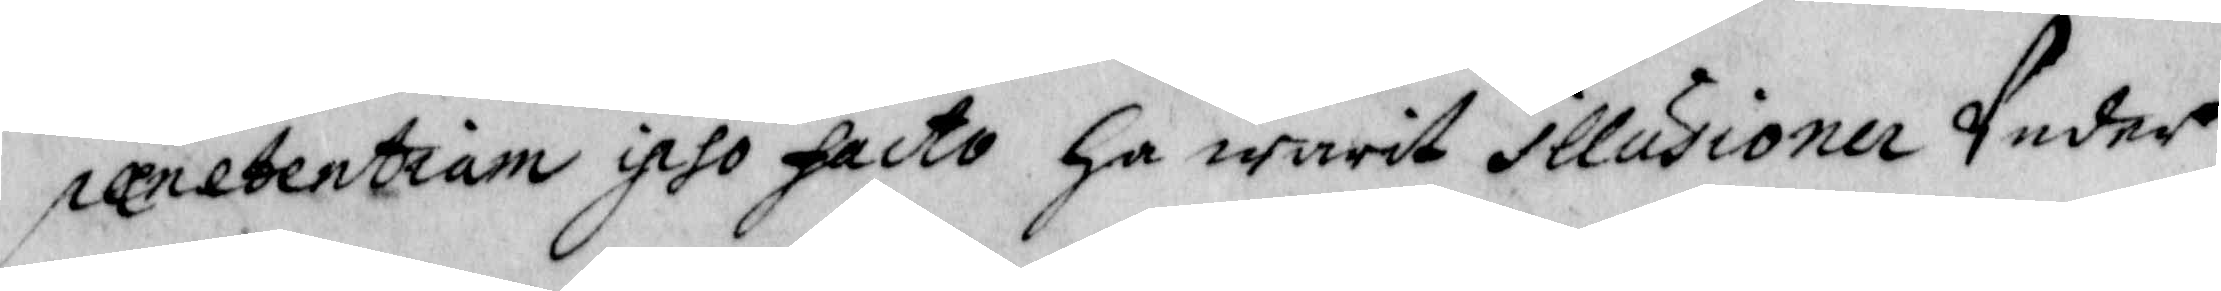panetentiam ipso facto ha warit illussioner Under
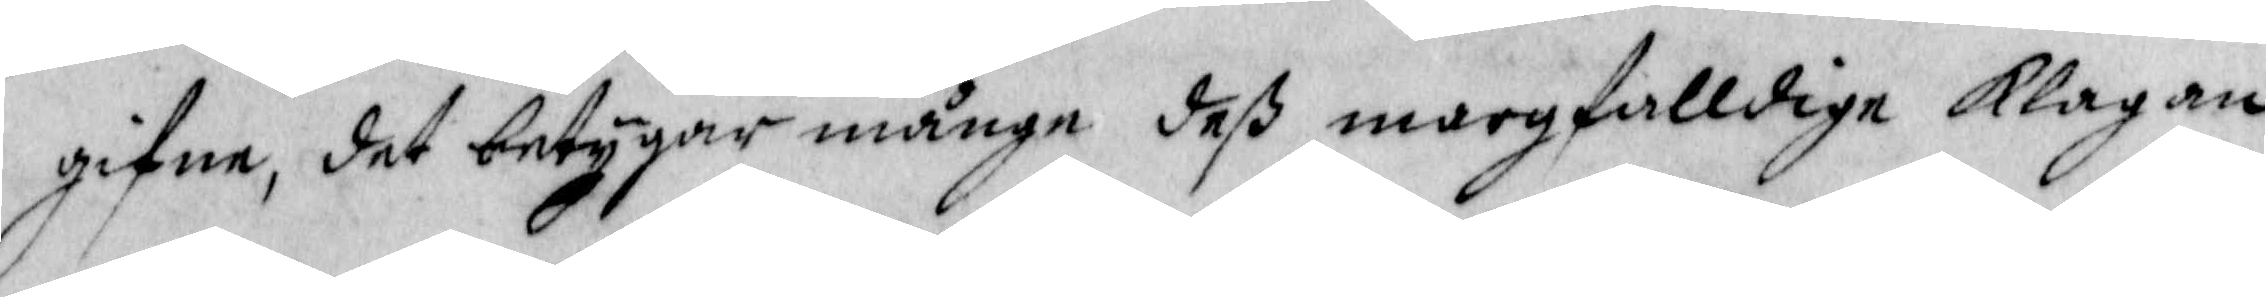gifne, det betygar månge deß margfalldige klagan
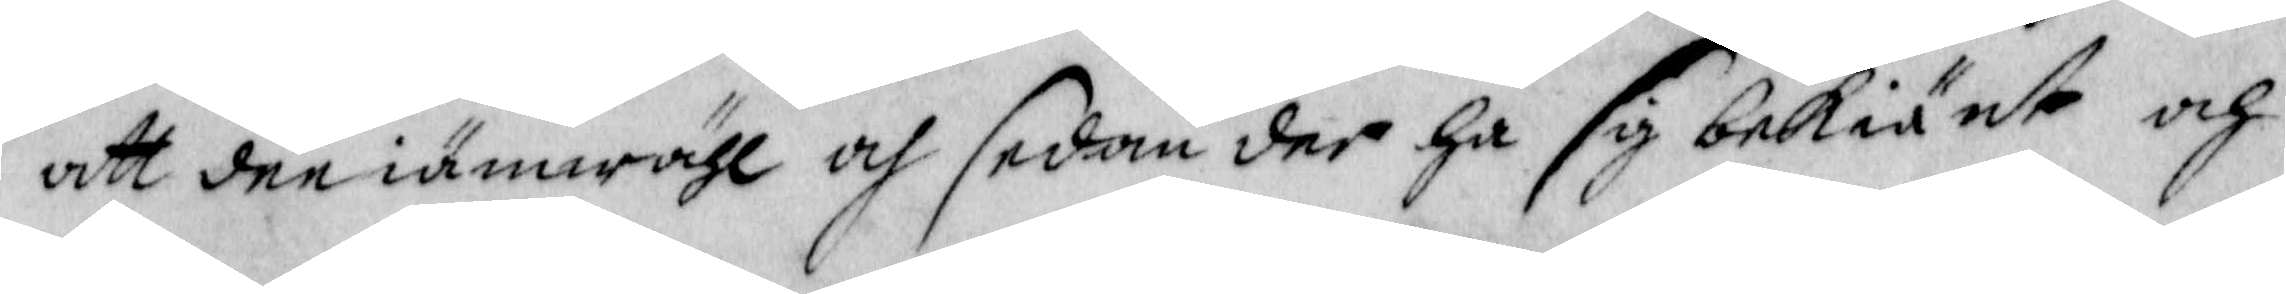att dee iämwähl och sedan der ha sig bekiänt och
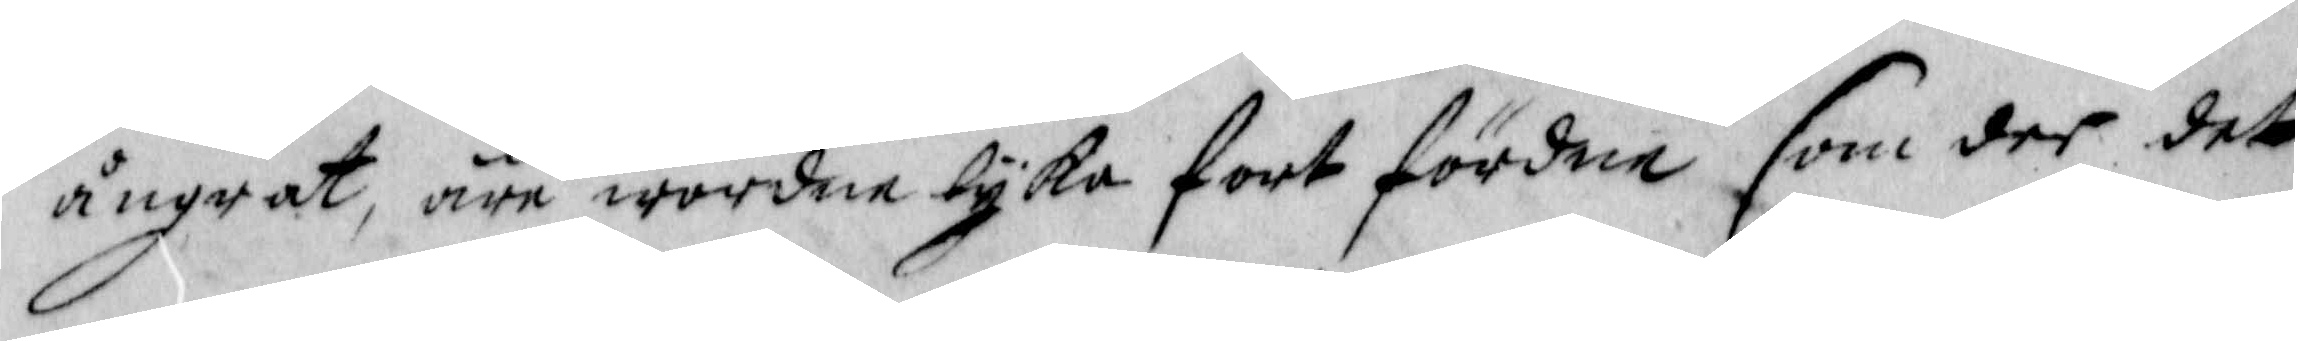ångrat, äre wordne lyka fort fördne som der der
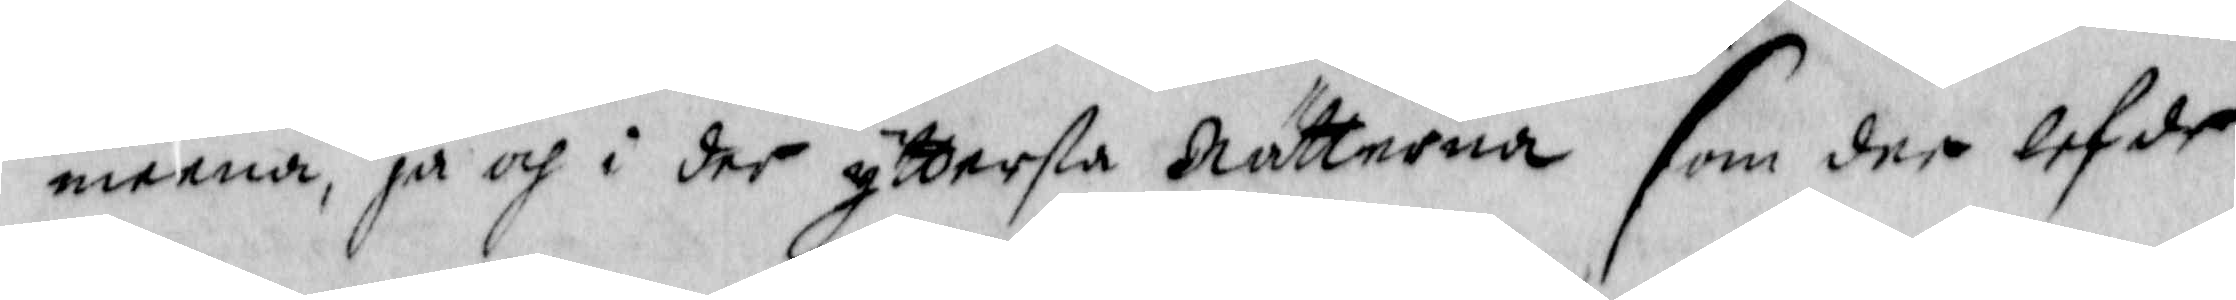meena, ja och i der yttersta Nätterna som der lefde
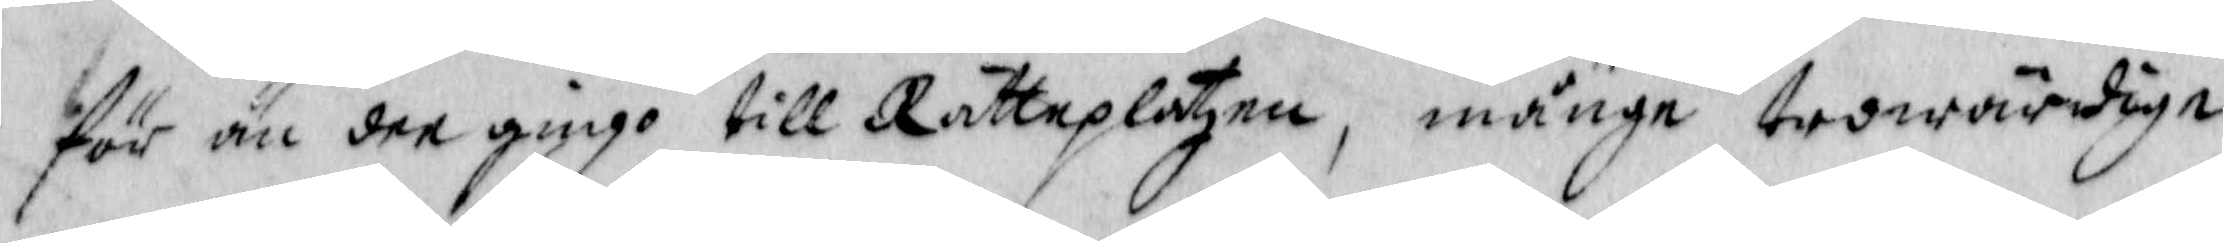för än dee gingo till Rätteplatzen, månge trowärdige
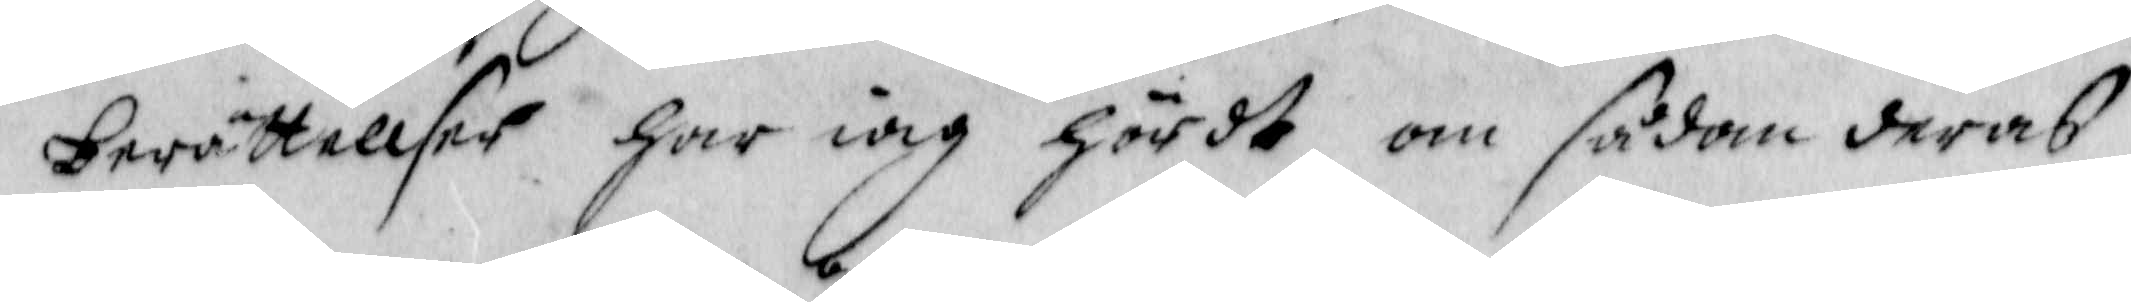berättellser har iag hördt om sådan deras
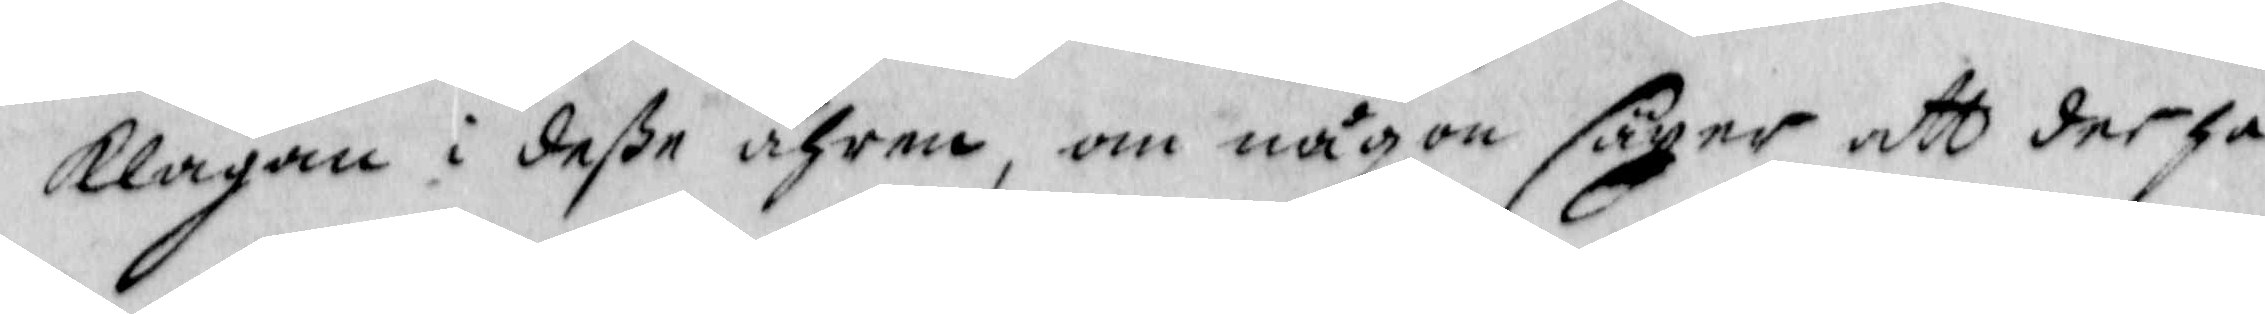klagan i deße ähren, om någon säyer att der ha
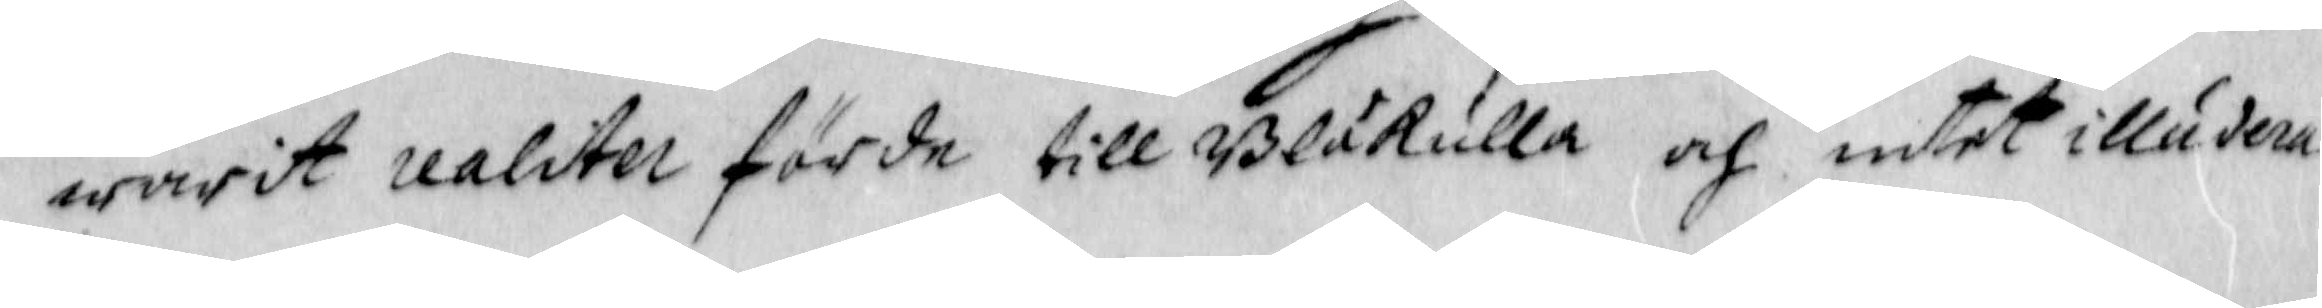warit realiter förde till Blåkulla och intet illudera
